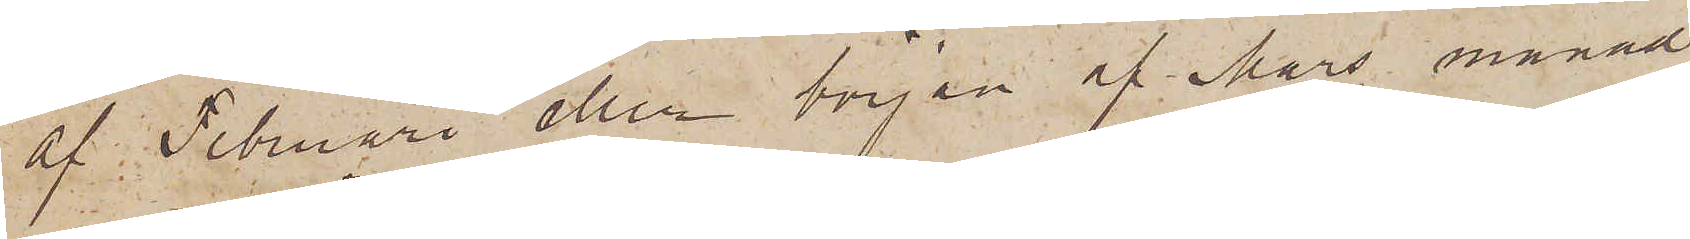af Februari eller början af Mars månad
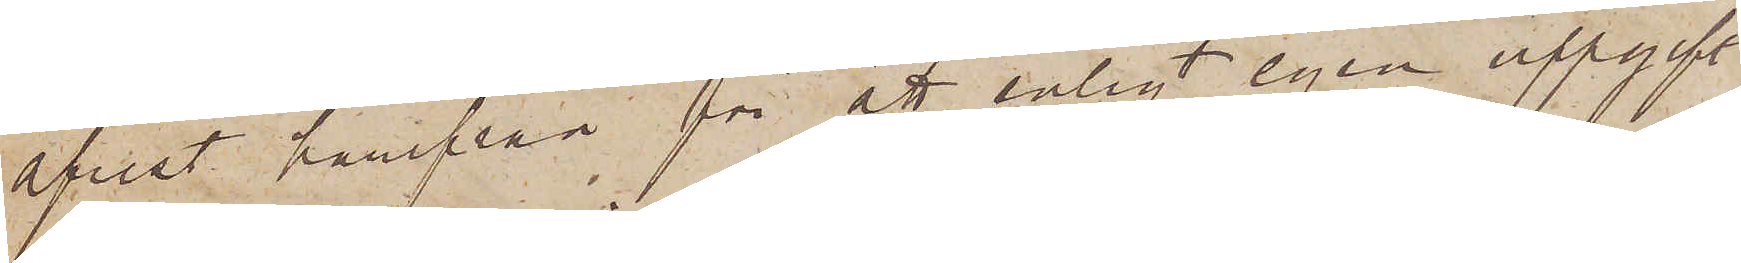afrest härifrån för att enligt egen uppgift
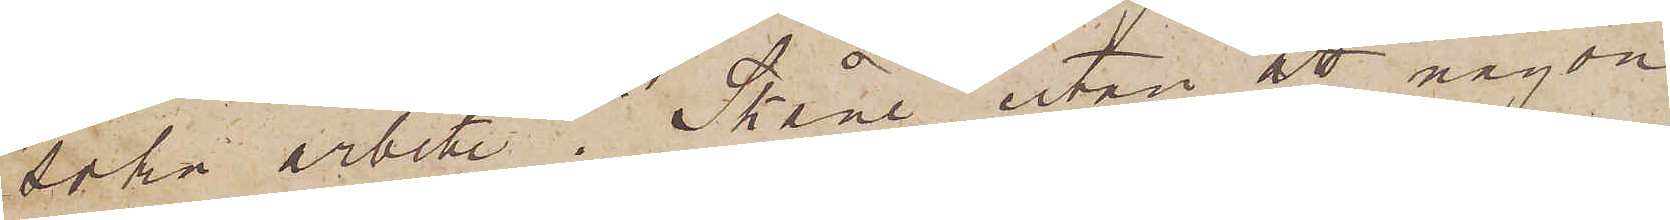söka arbete i Skåne utan att någon
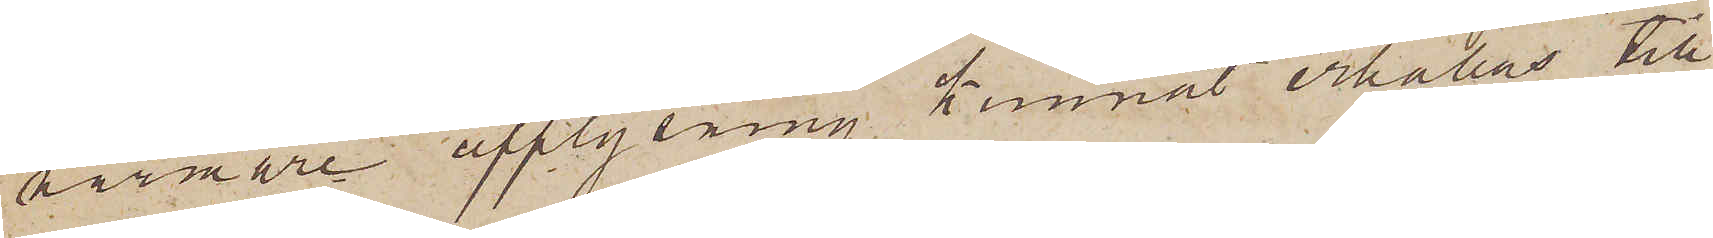närmare upplysning kunnat erhållas till
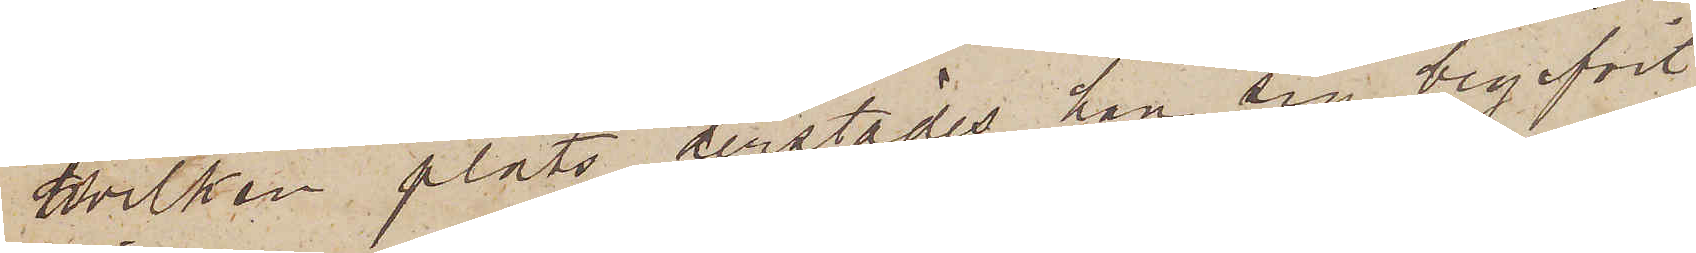hvilken plats derstädes han sig begifvit
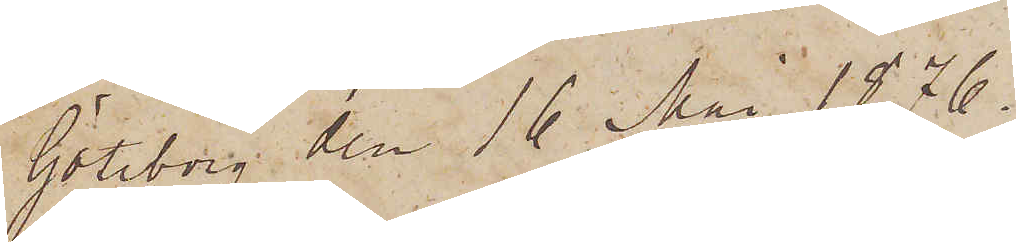Göteborg den 16 Maj 1876.
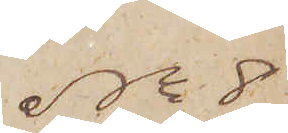No 8
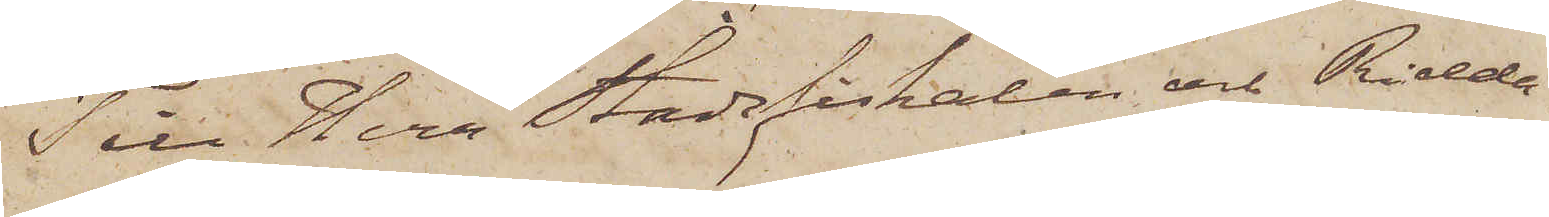 Till Herr Stadsfiskalen och Ridda¬
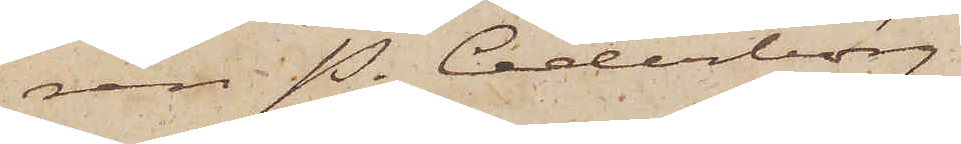ren P. Cederborg.
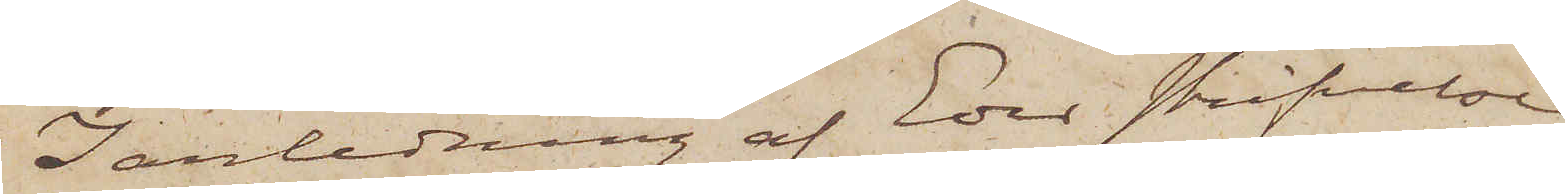I anledning af Eder skrifvelse
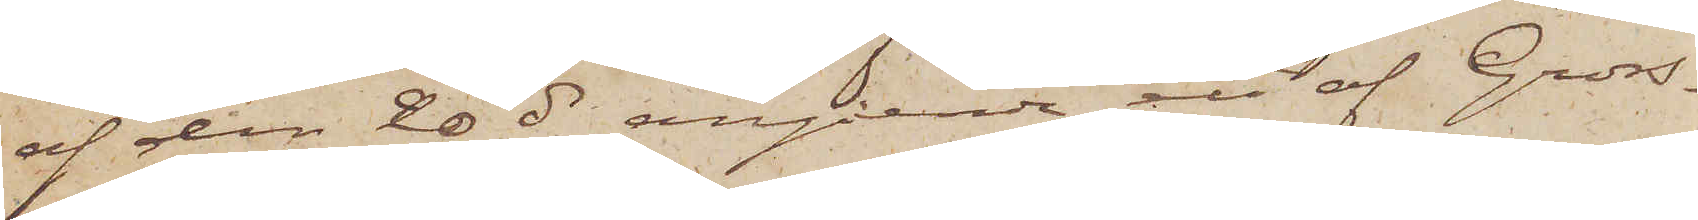af den 20 ds angående en af Gross¬
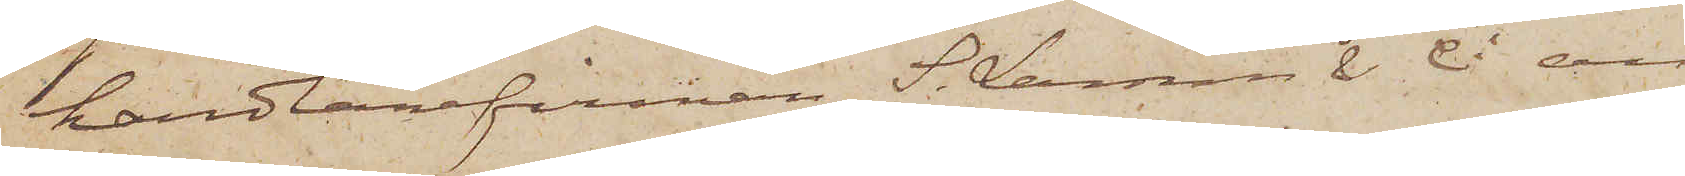handlarefirman S. Larsson & Ci an¬
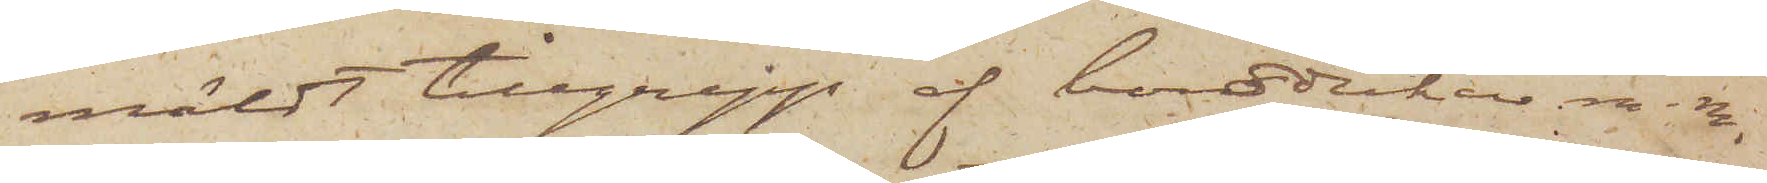mäldt tillgrepp af borddukar m m,
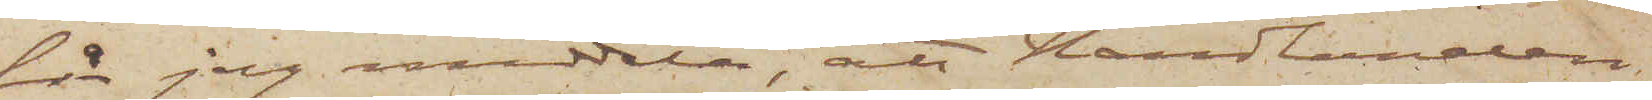får jag meddela, att Handlanden
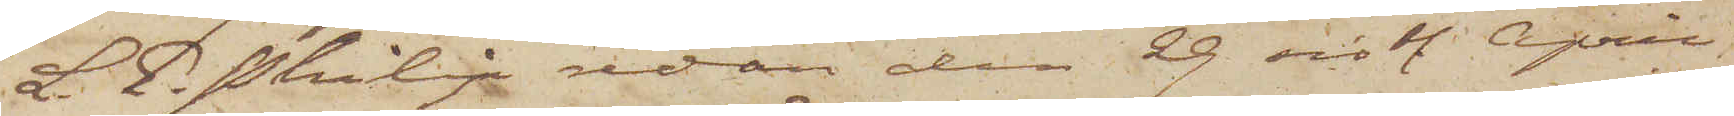L. E. Philip redan den 29 sistl. April
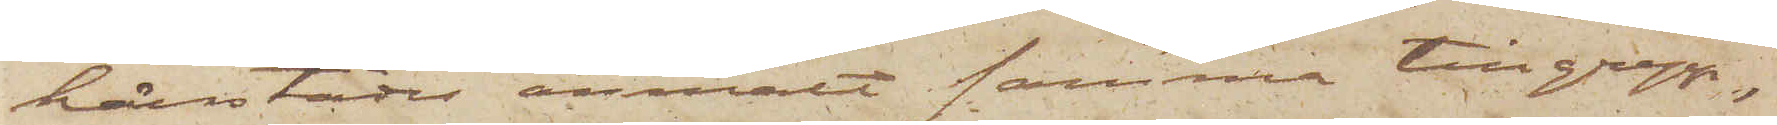härstädes anmält samma tillgrepp,
